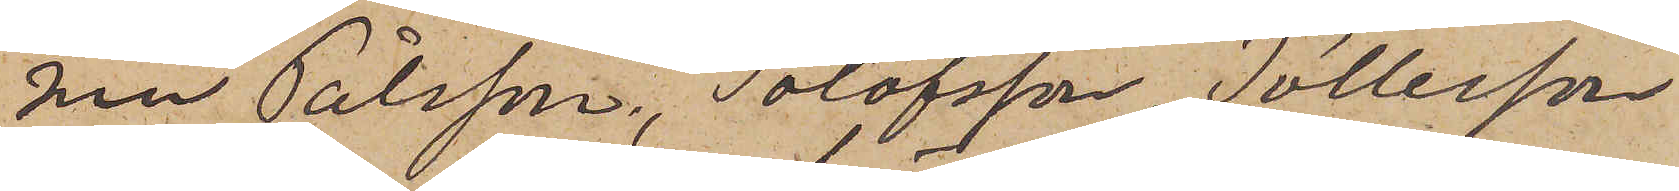nen Pålsson, Tolofsson, Tollesson
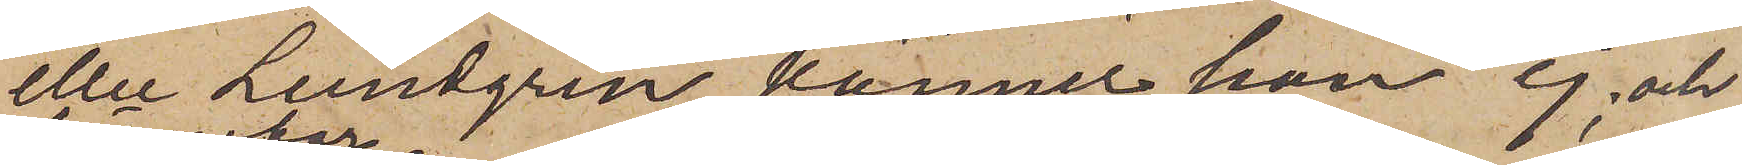eller Lundgren känner han ej, och
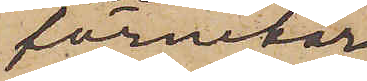förnekar
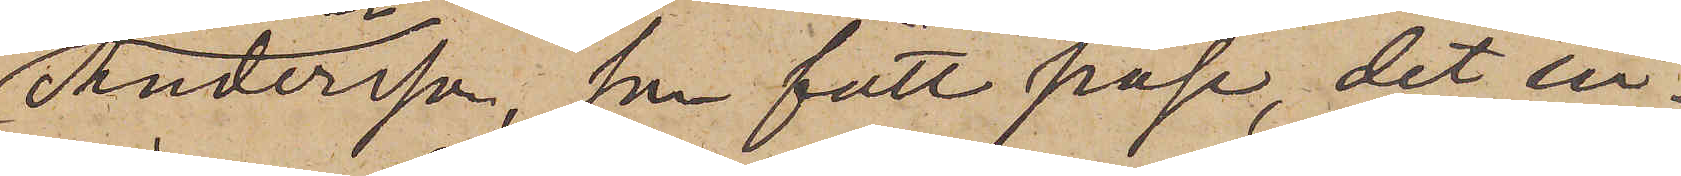Andersson, som fått påse, det in¬
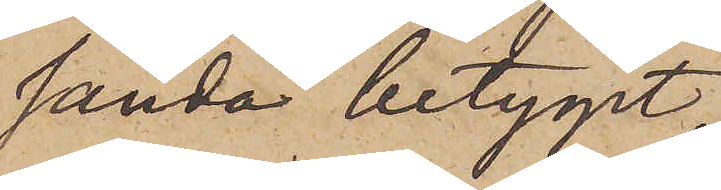sända betyget,
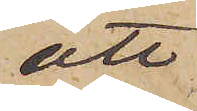att
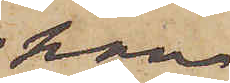han
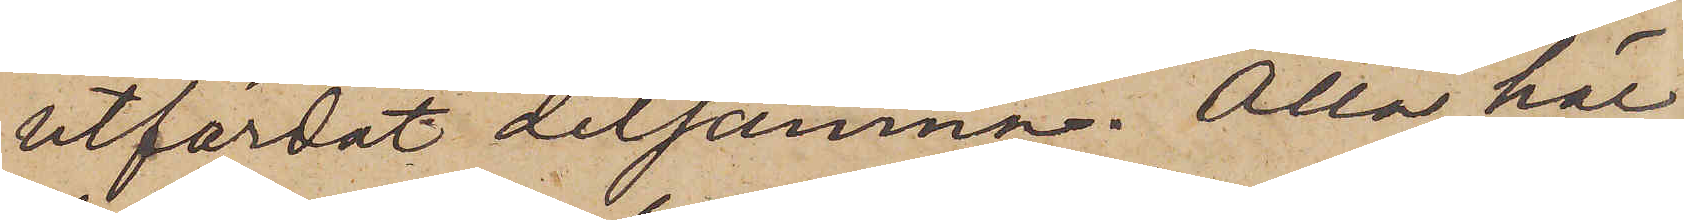utfärdat detsamma. Alla här
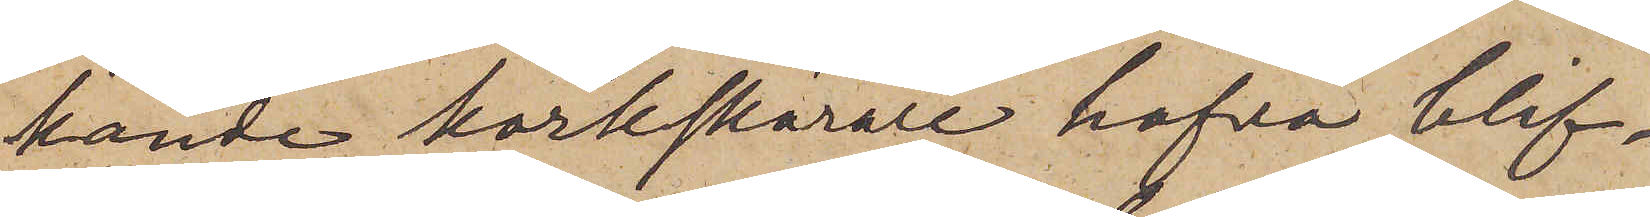kända korkskärare hafva blif¬
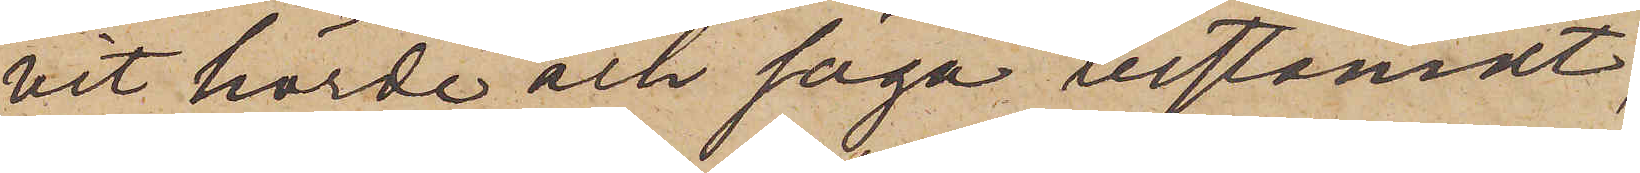vit hörde och säga bestämdt,
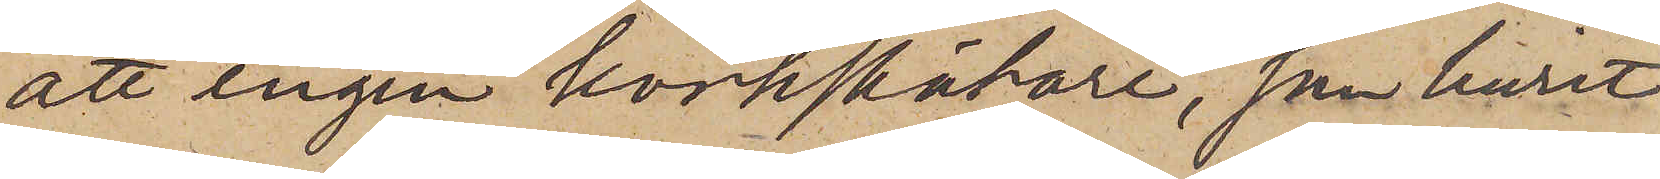att ingen korkskärare, som burit
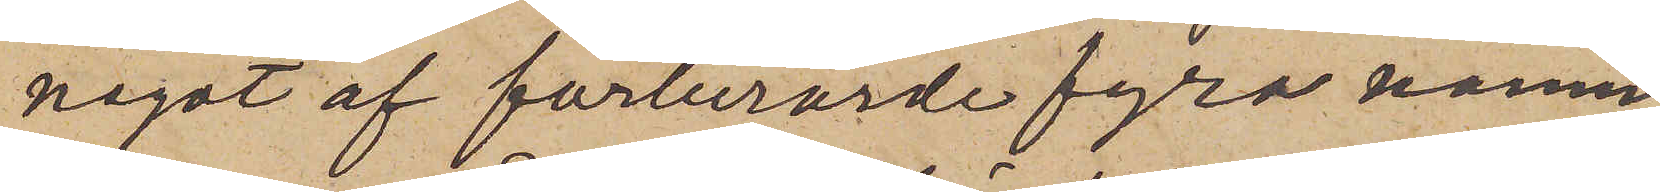något af förberörde fyra namn,
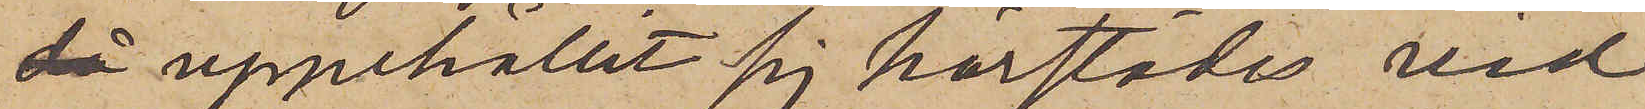då uppehållit sig härstädes vid
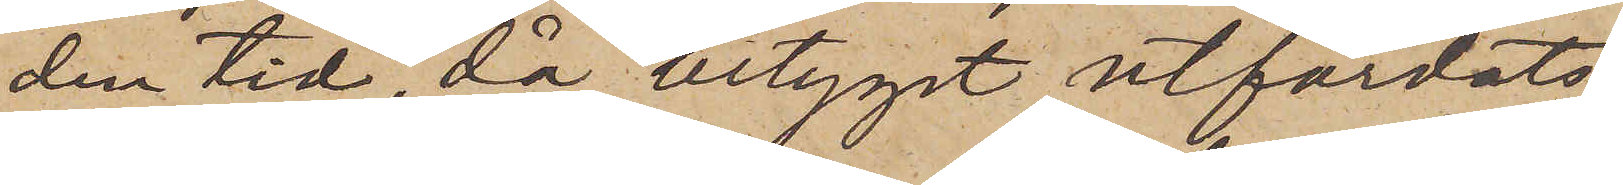den tid då betyget utfärdats,
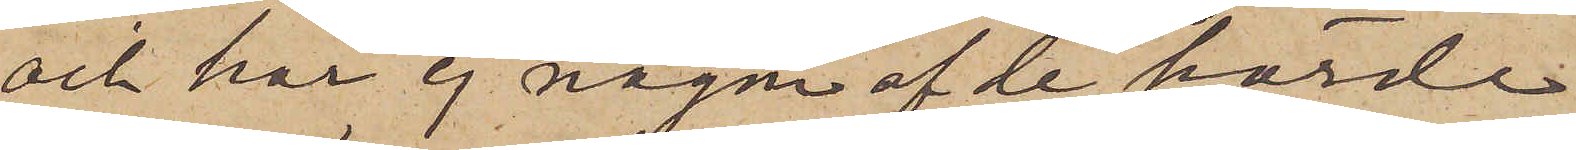och har ej någon af de hörde
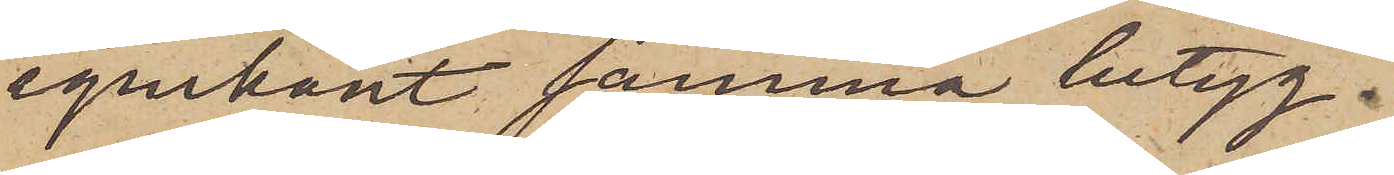igenkänt samma betyg.
